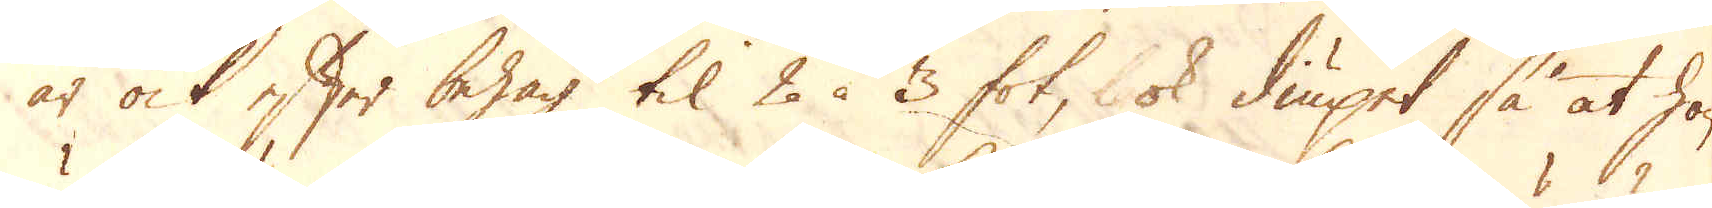är ock efter behag til 2 à 3 fot, ok diupet så at hon
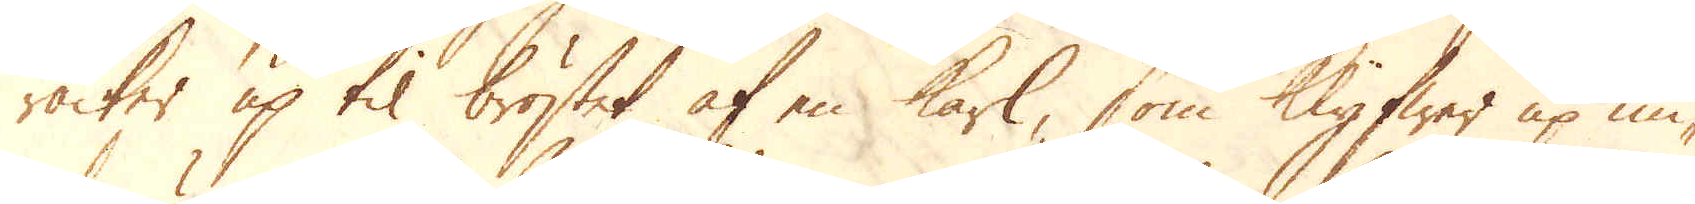räcker up til bröstet af en karl, som Klyfwer up un-
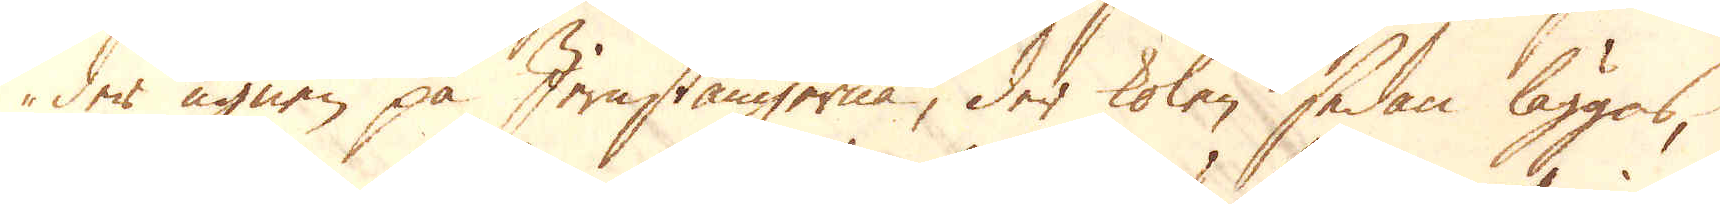der ugnen på Jernstängerna, der kolen sedan läggas,
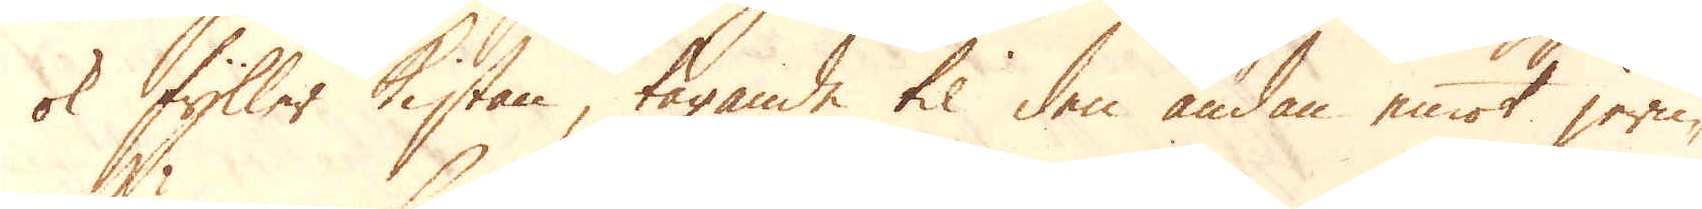ok fyller Kistan, tagande til den ändan emot jern-
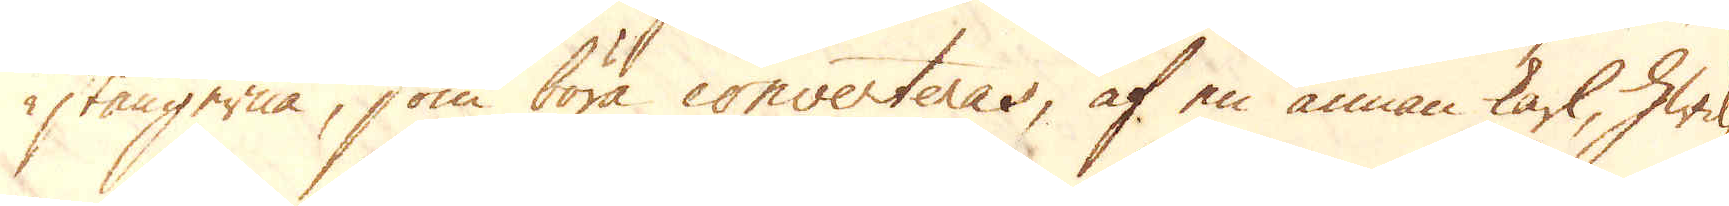stängerna, som böra converteras, af en annan karl, hwil-
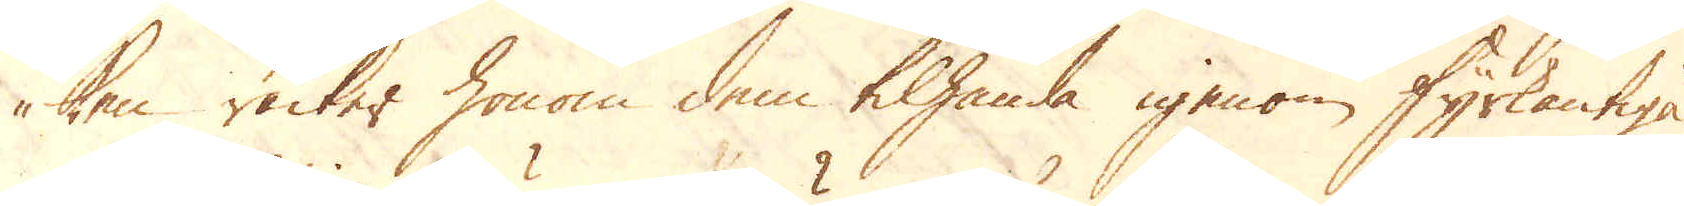ken räcker honom dem tilhanda igenom fyrkantiga
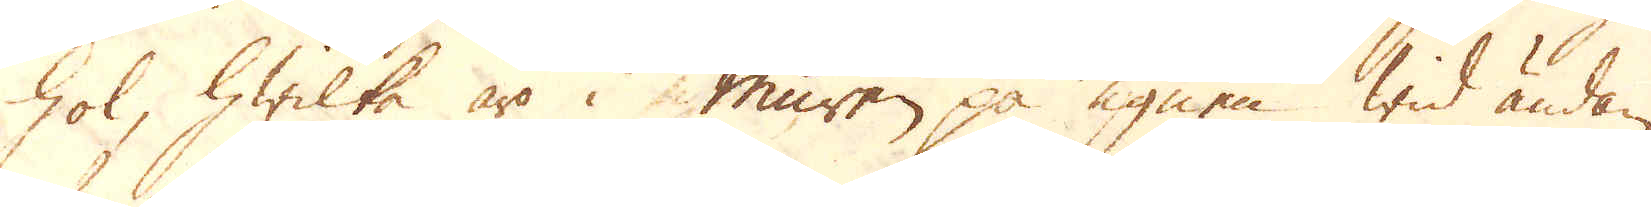hol, hwilka äro i muren på ugnen wid ändan
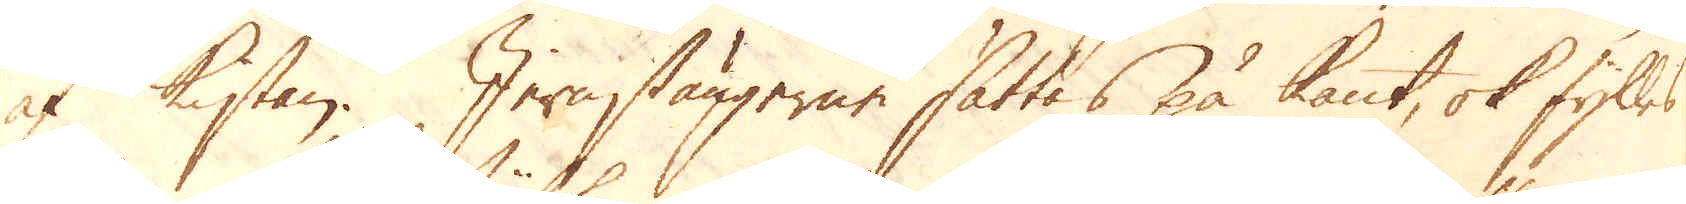at Kistan. Jernstängerne sättes på kant, ok fylles
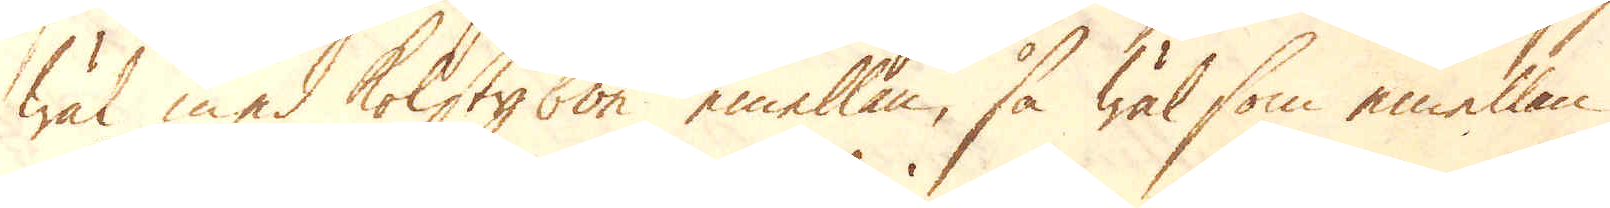wäl med kolstybbe emellan, så wäl som emellan
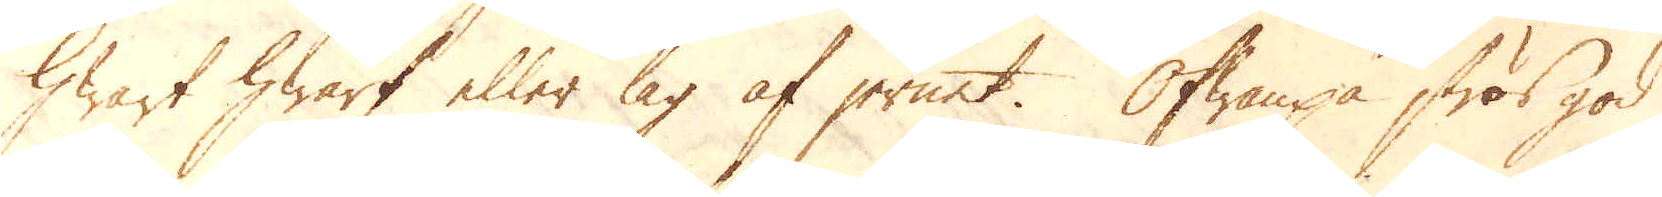hwart hwarf eller lag af jernet. Ofwanpå strös god
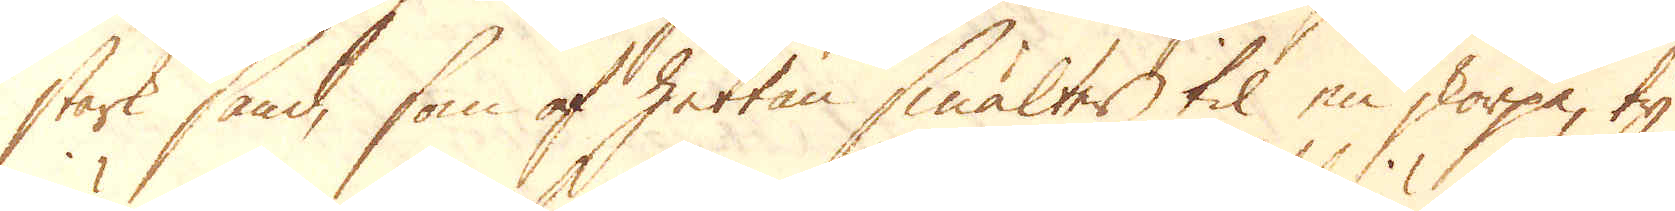stark sand, som af hettan smältes til en storpa, ty
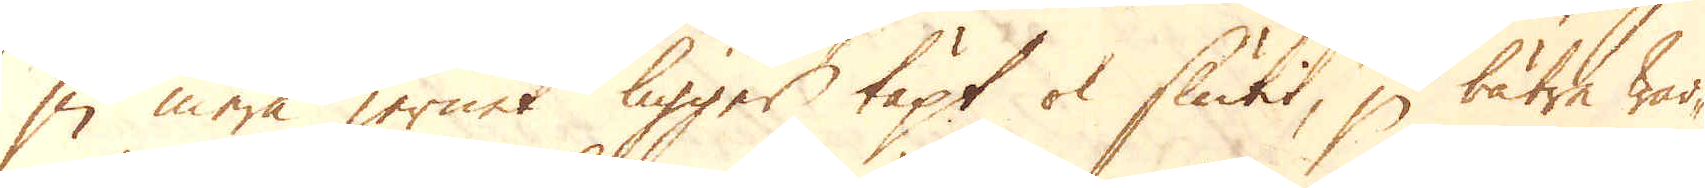ju mera jernet ligger täpt ok slutit, ju bätre war-
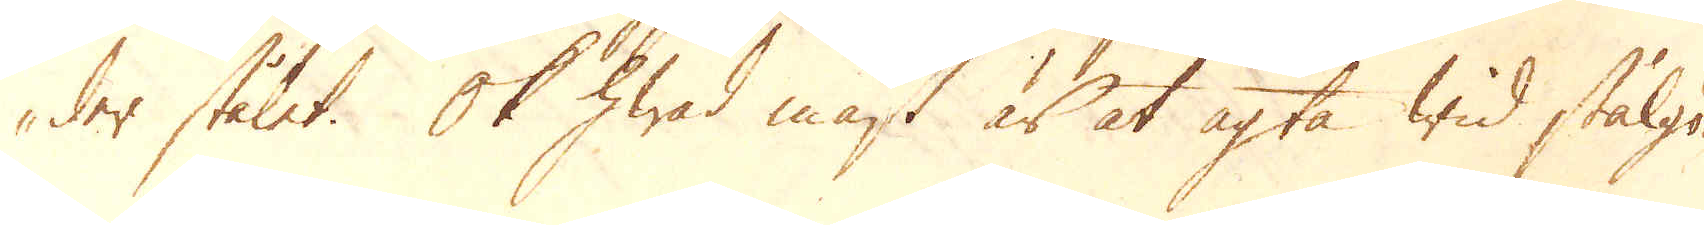der stålet. Ok hwad mäst är at agta wid stålgö-
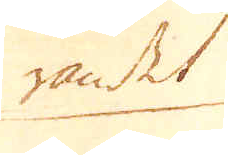randet
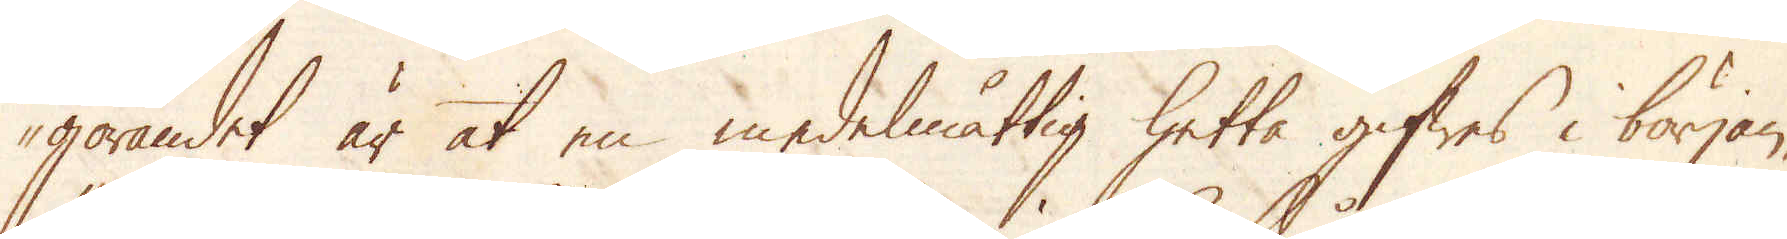görandet är at en medelmåttig hetta gifwes i början,
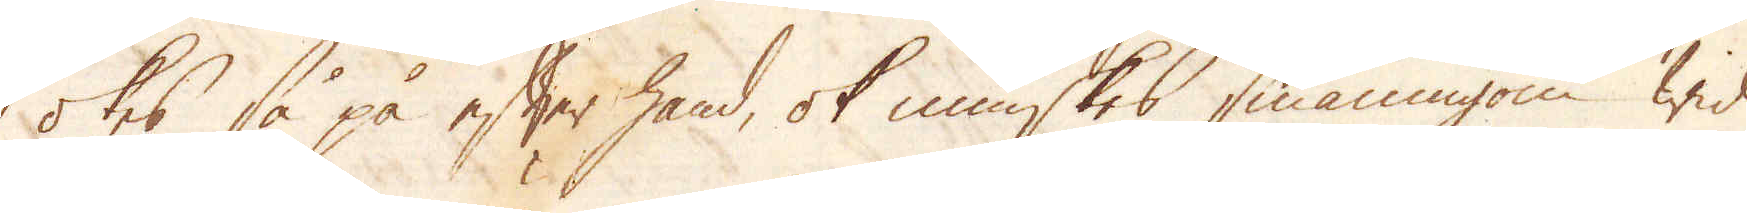ökes så på efter hand, ok minskes småningom wid
